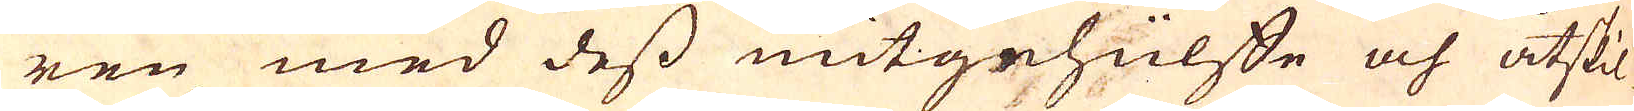ren med dess mitgehülfte och åtskil-
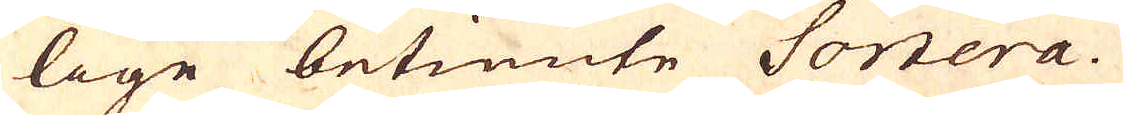lige betiente Sortera.
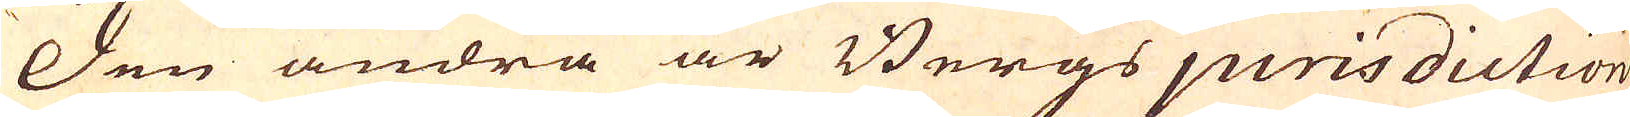Den andra är Bergs jurisdiction
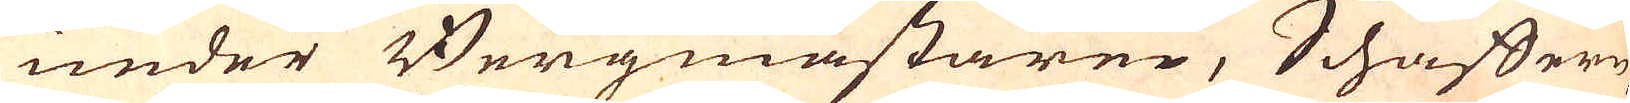under Bergmästarne, Schäffern
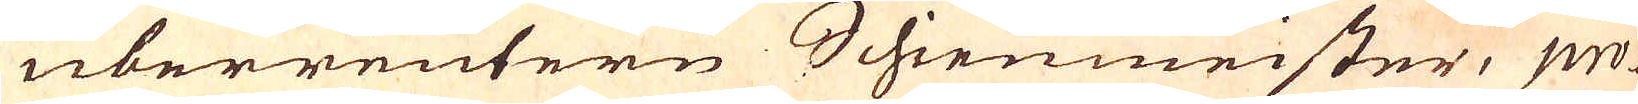uberreutern Schienmeister, pro-
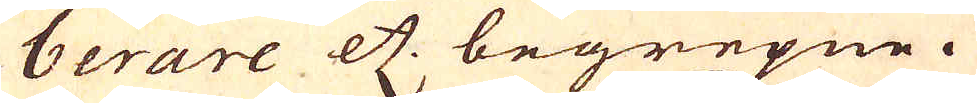berare etc. begrepne.
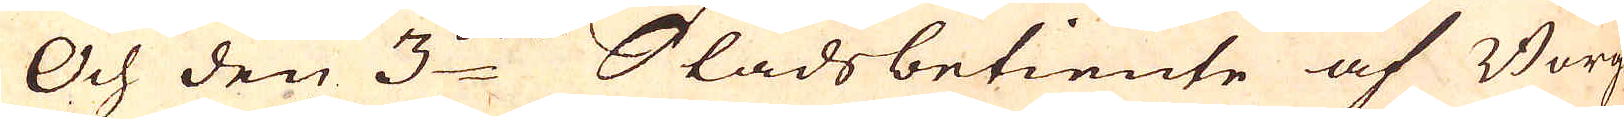Och den 3:die Stadsbetiente af Borg
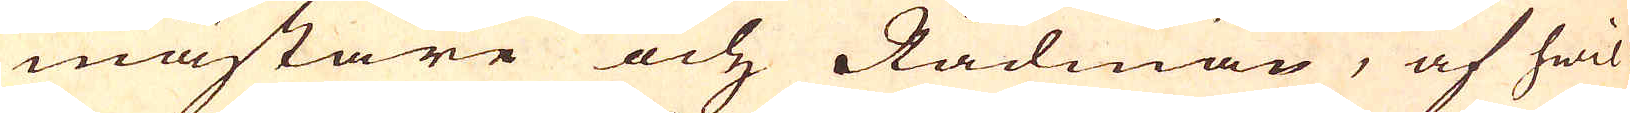mästare och Rådman, af hwil-
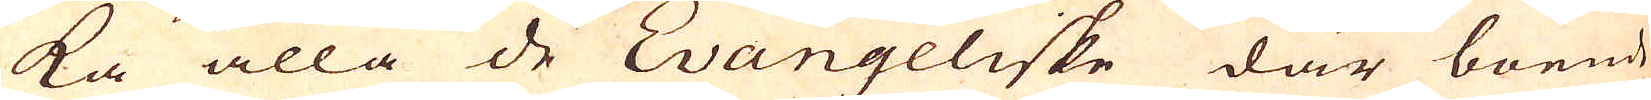ka alla de Evangeliske där boende
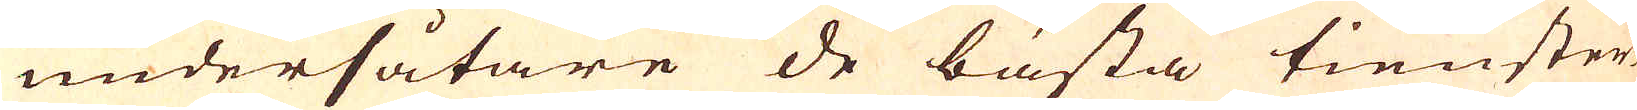undersåtare de bästa tienster-
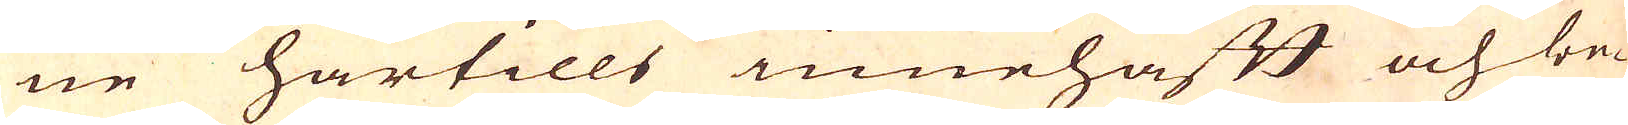ne härtills innehafft och be-
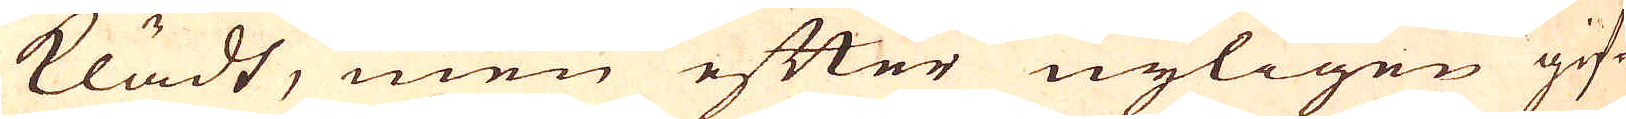klädt, men efter nyligen gif-
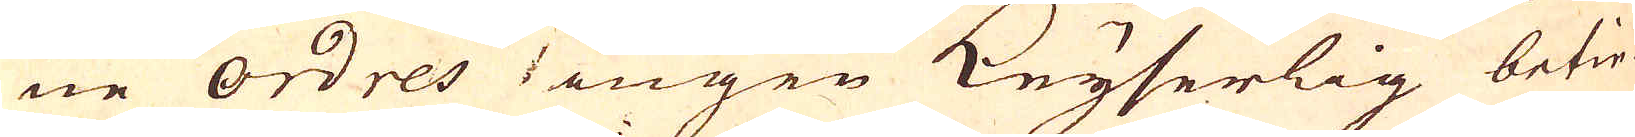ne ordres 1 ingen Keyserlig betie-
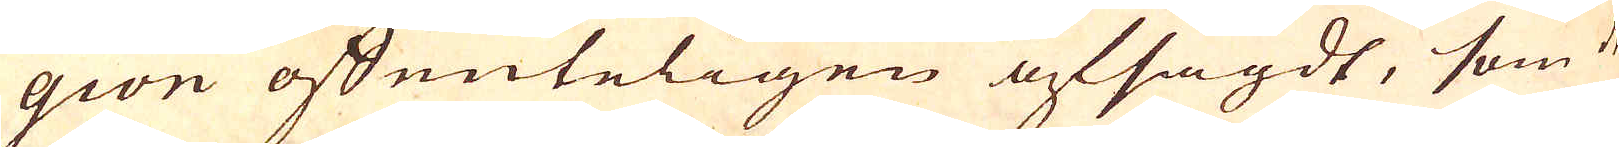gion offenteligen afsagdt, som de 
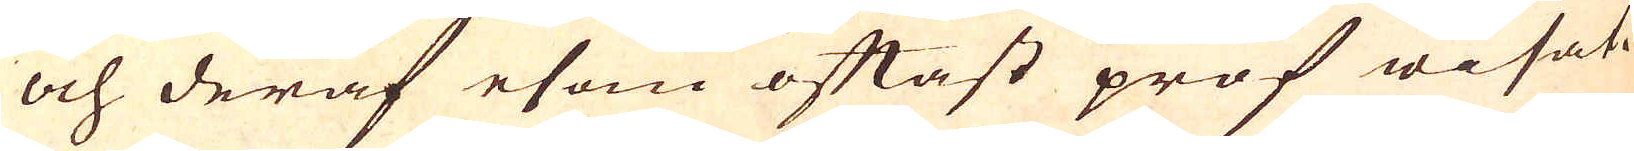och deraf esom oftast prof wisat.
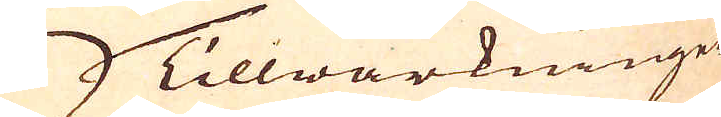Tillwärkninge
